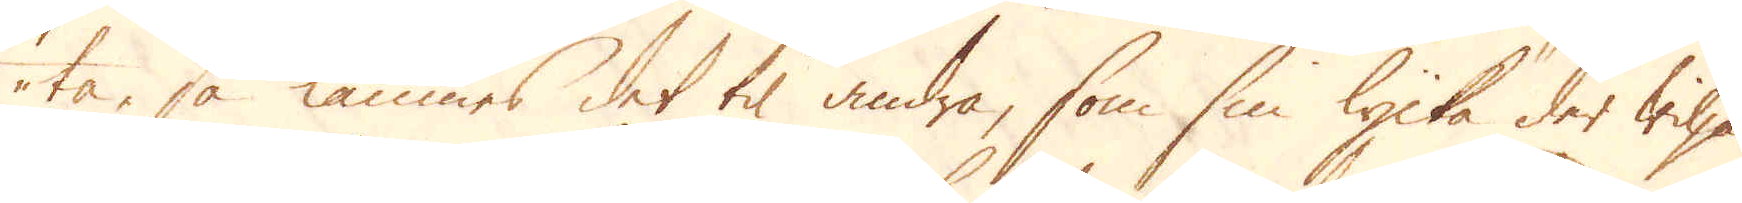ta, så lämnes det til andra, som sin lycka der wilja
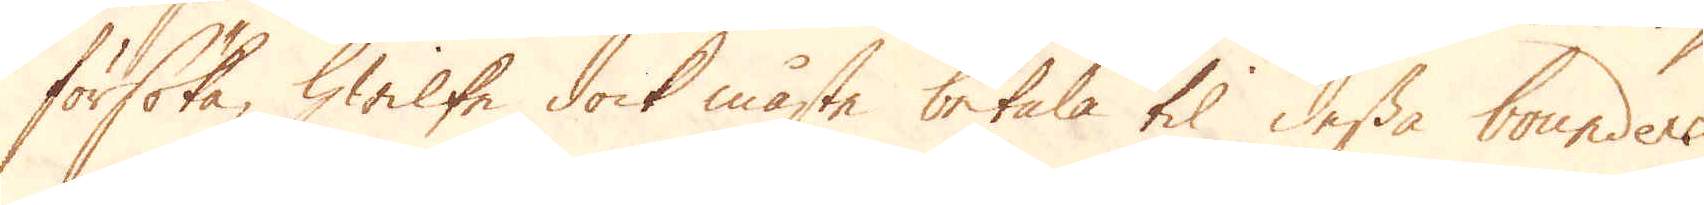försöka, hwilke dock måste betala til dessa bounders
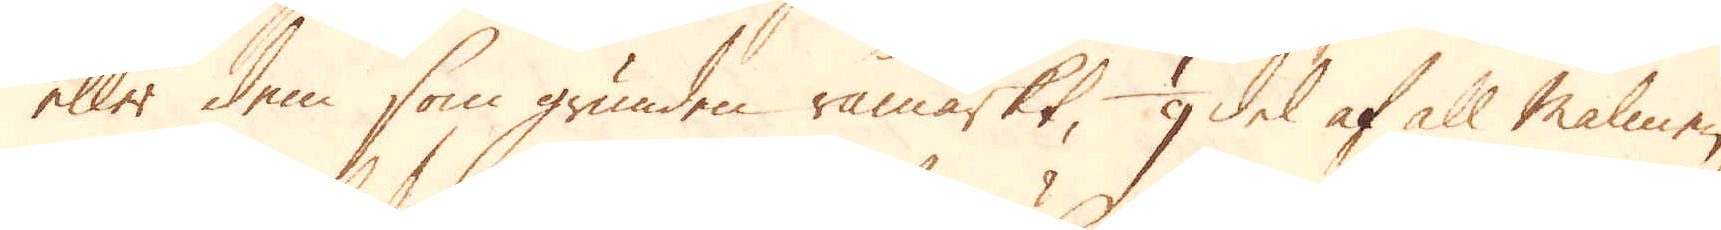eller dem som grunden råmärkt, 1/9 del af all malmen,
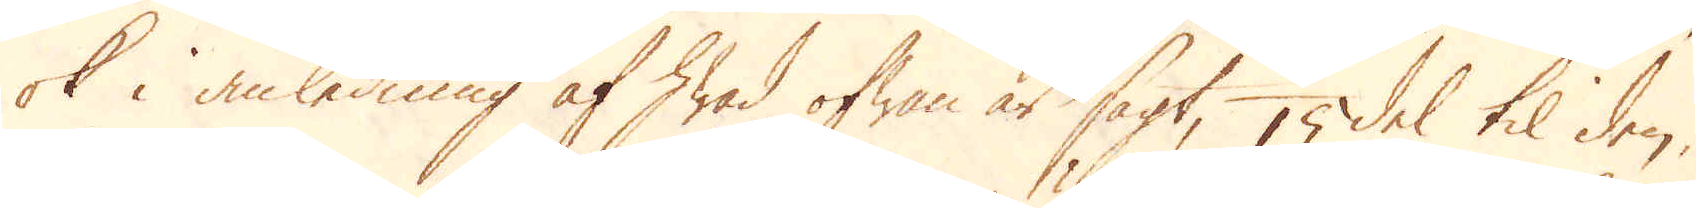ok i anledning af hwad ofwan är sagt, 1/15 del til den,
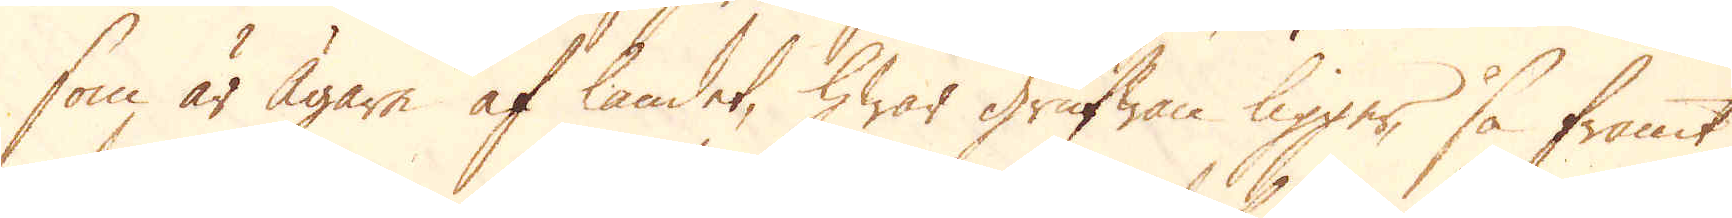som är Ägare af landet, hwar grufwan ligger, så framt
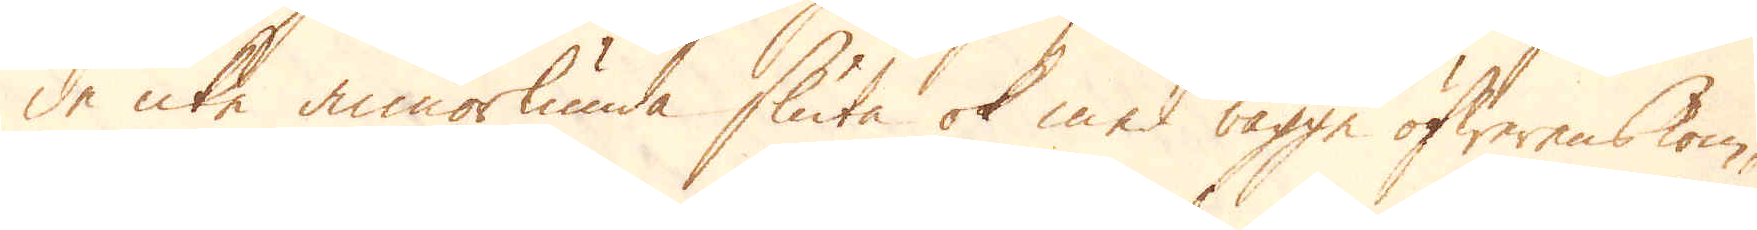de icke annorlunda sluta ok med bägge öfwerenskom-
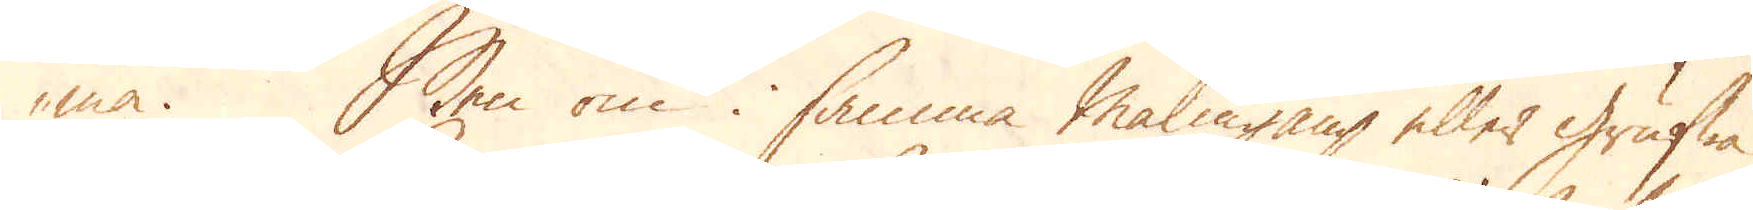ma. Men om i samma Malmgång eller grufwa
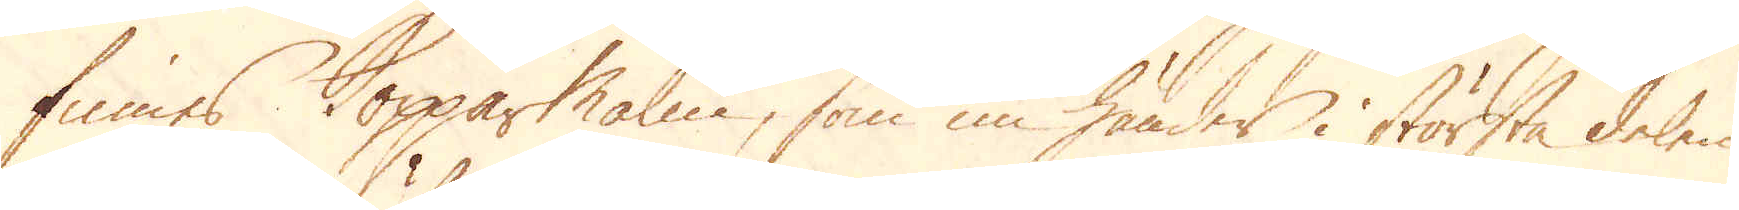finnes Kopparmalm, som nu händer i största delen
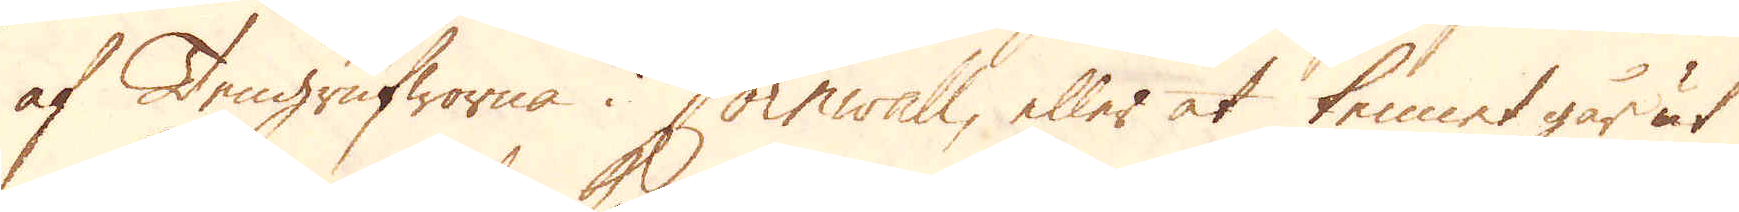af Tengrufworna i Cornwall, eller at tennet går ut
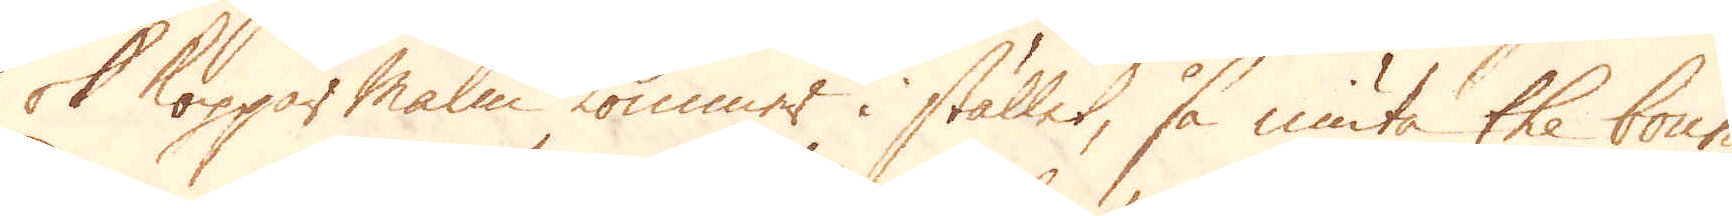ok Koppar malm kommer i stället, så niuta the boun-
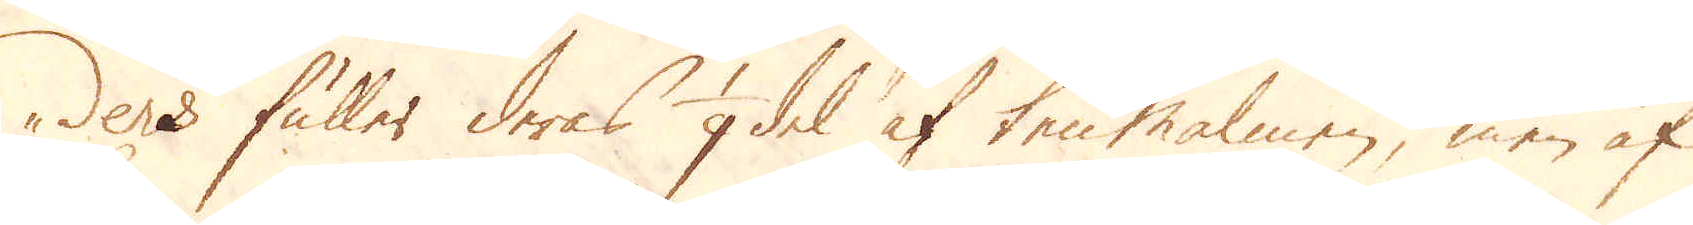ders fuller deras 1/9 del af ten malmen, men af
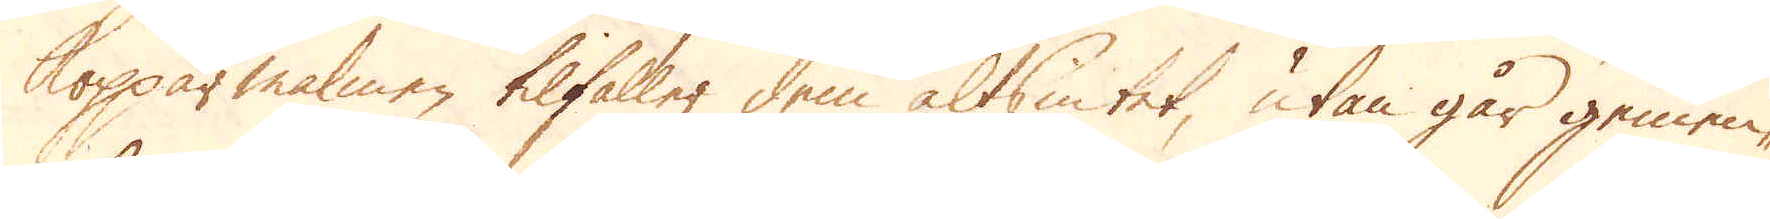kopparmalmen tilfaller dem altsintet, utan går gemen-
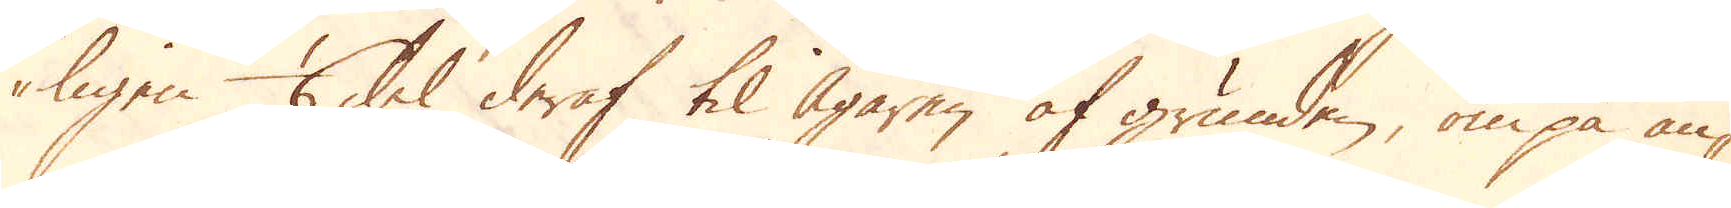ligen 1/6 del deraf til Ägaren af grunden, om på an-
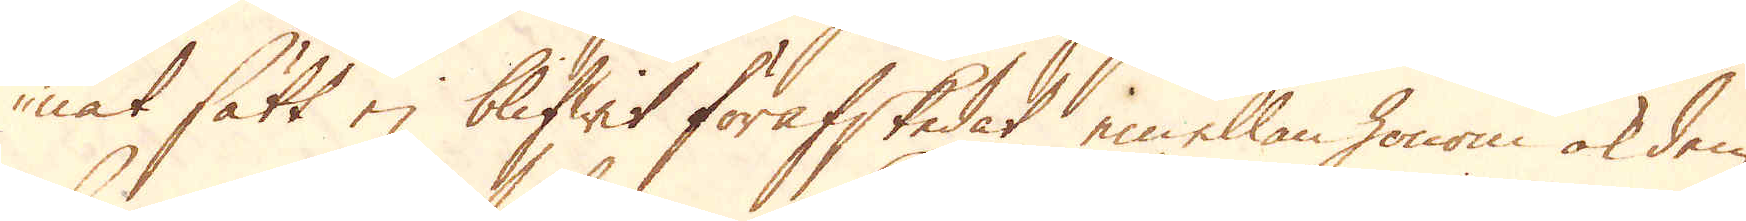nat sätt ej blifwit förafskedat, emellan honom ok dem
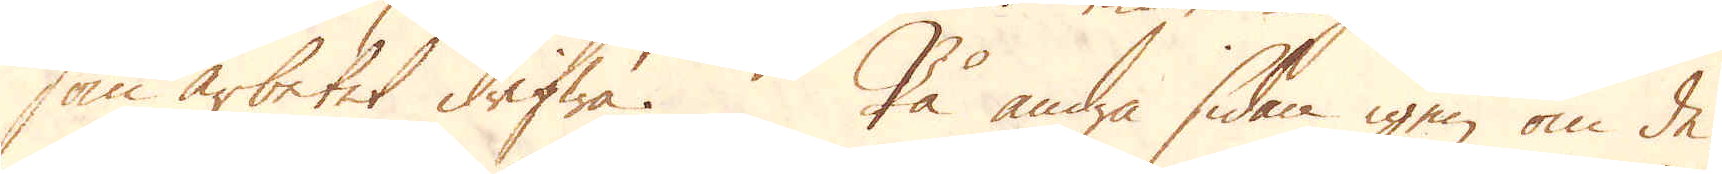som arbetet drifwa. På andra sidan igen om de,
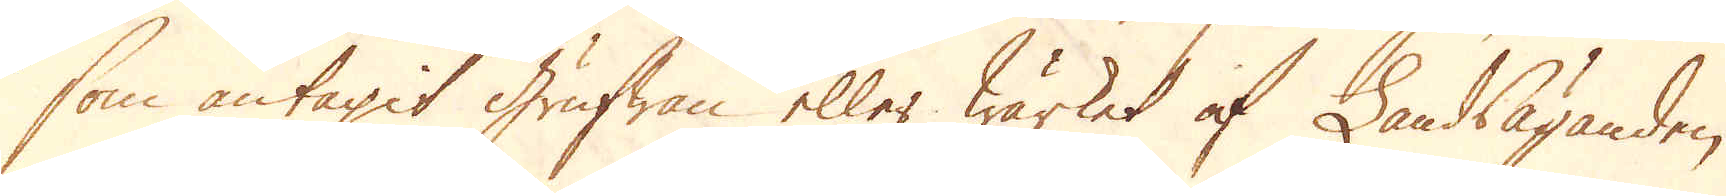som antagit Grufwan eller wärket af Landsäganden,
